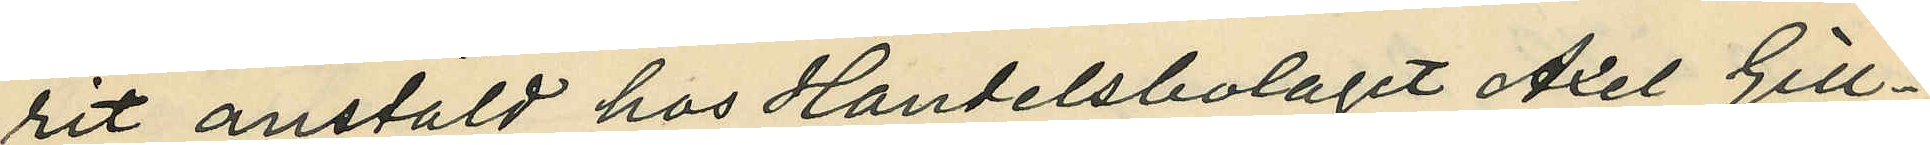rit anstäld hos Handelsbolaget Axel Gill¬
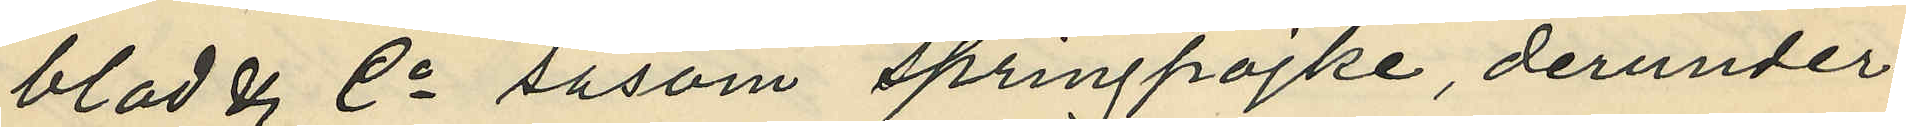blad & Co såsom springpojke, derunder
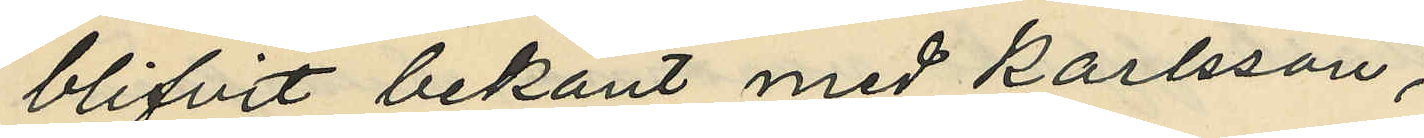blifvit bekant med Karlsson,
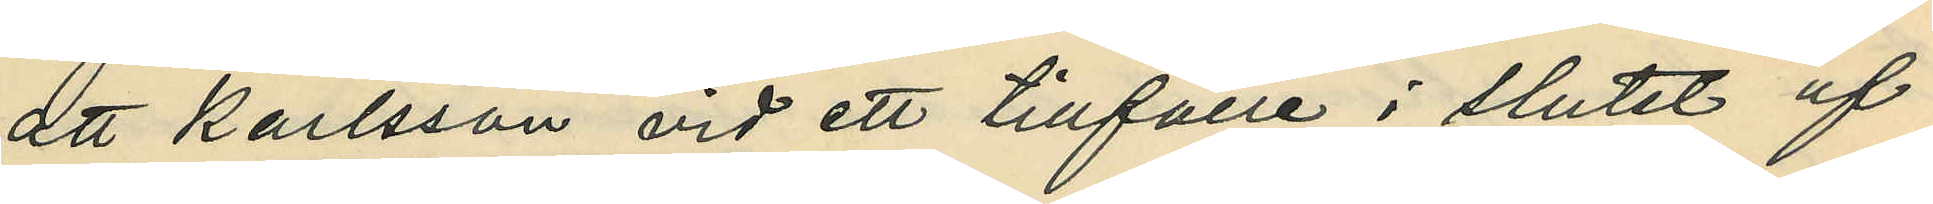att Karlsson vid ett tillfälle i slutet af
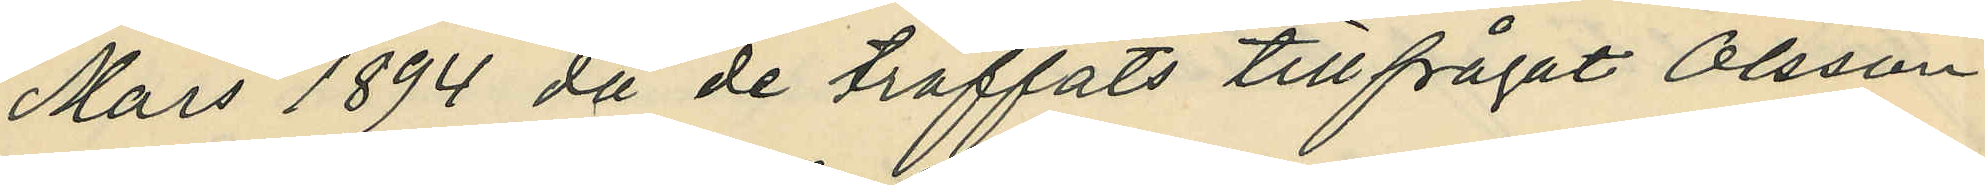Mars 1894 då de träffats tillfrågat Olsson
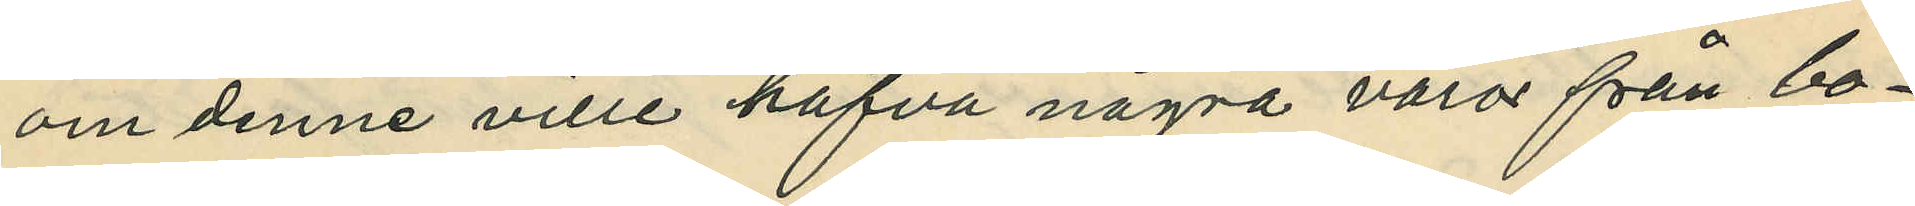om denne ville hafva några varor från bo¬
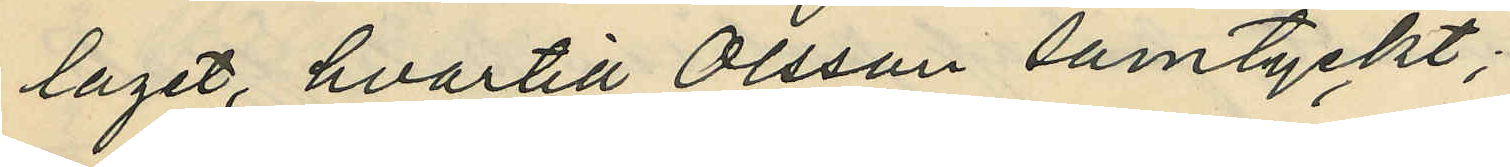laget, hvartill Olsson samtyckt;
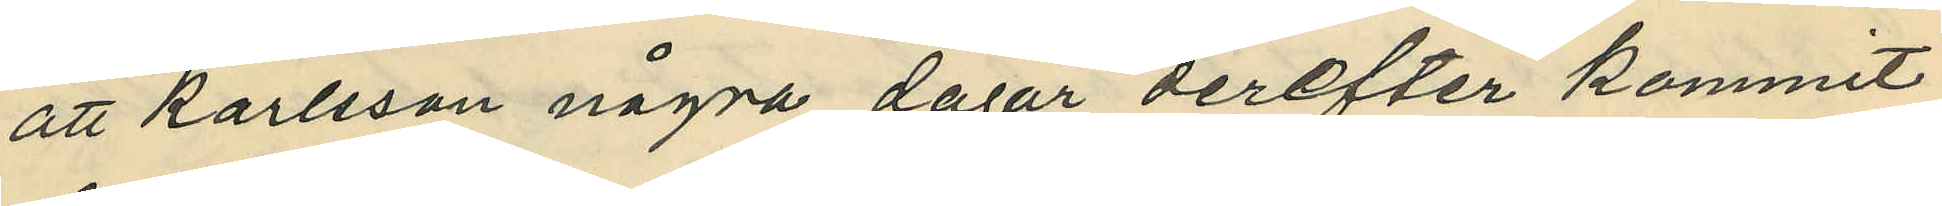att Karlsson några dagar derefter kommit
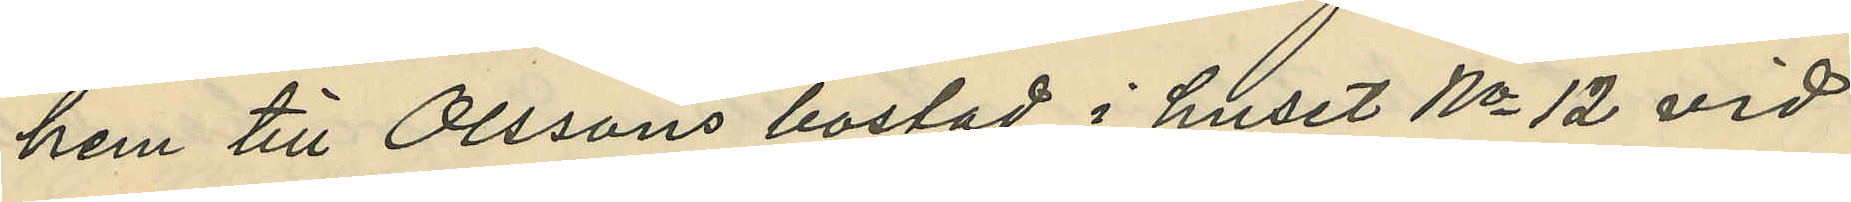hem till Olssons bostad i huset No 12 vid
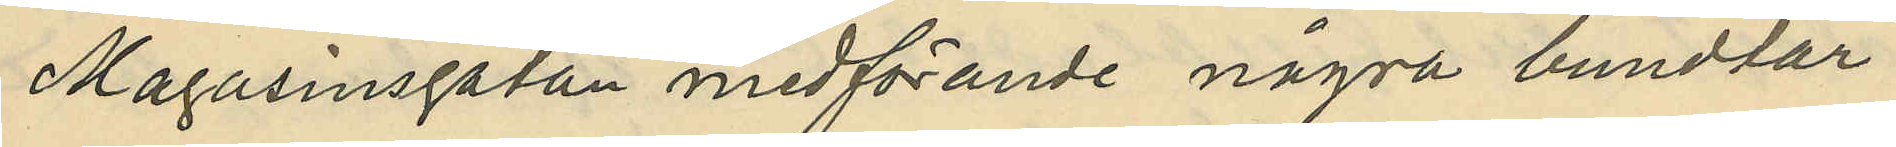Magasinsgatan medförande några bundtar
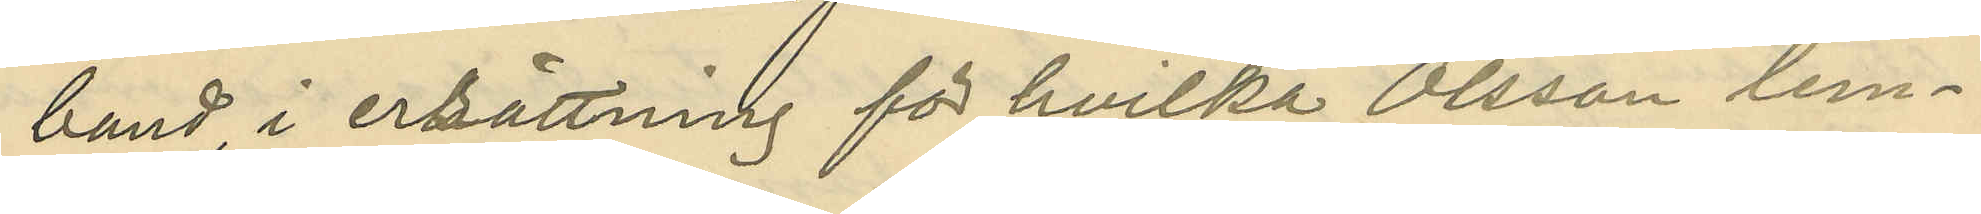band i ersättning för hvilka Olsson lem¬
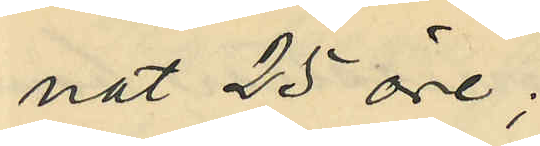nat 25 öre;
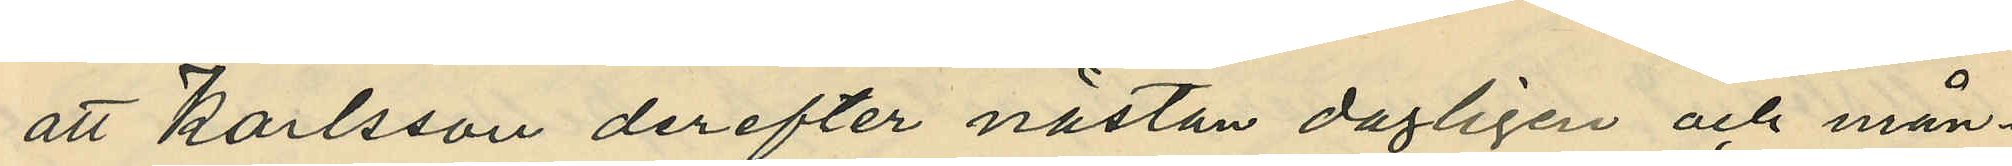att Karlsson derefter nästan dagligen och mån¬
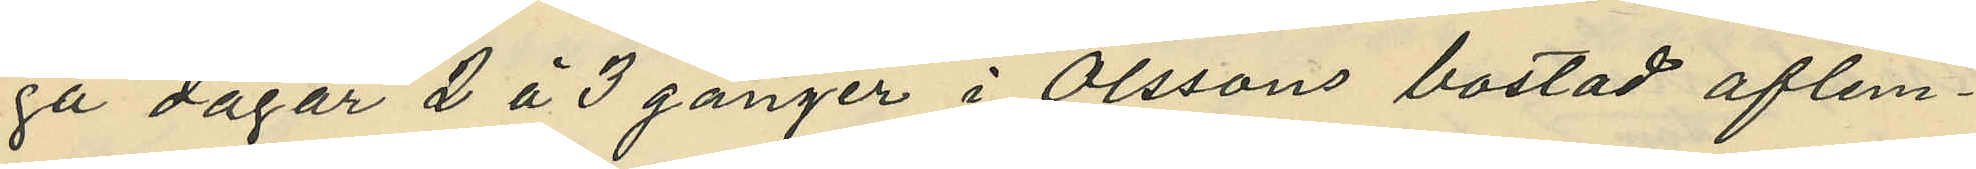ga dagar 2 á 3 gånger i Olssons bostad aflem¬
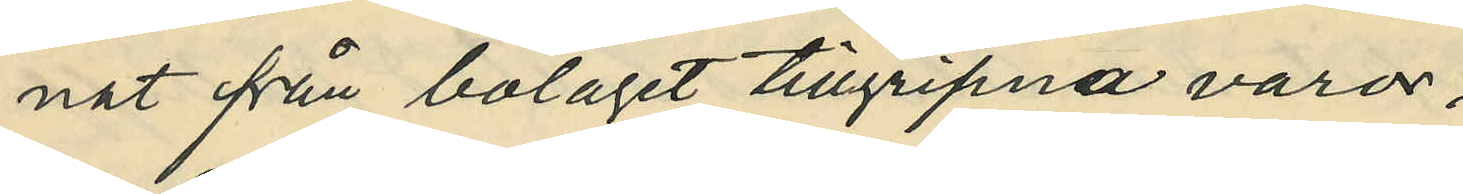nat från bolaget tillgripna varor.
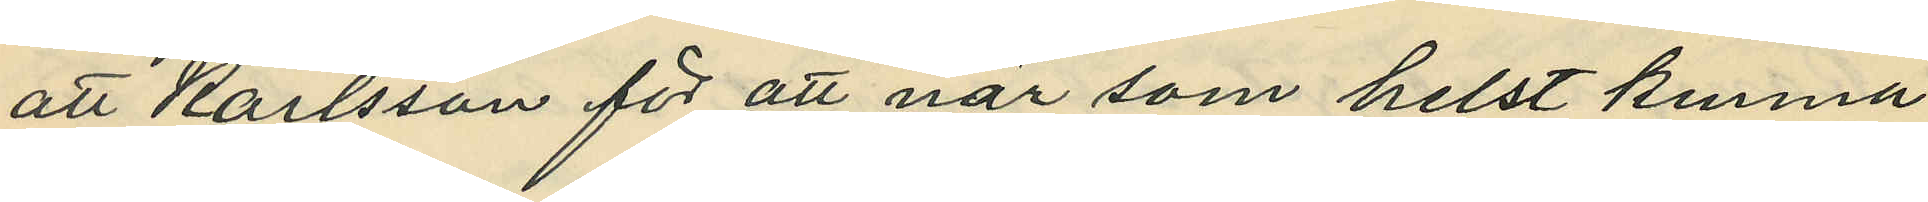att Karlsson för att när som helst kunna
